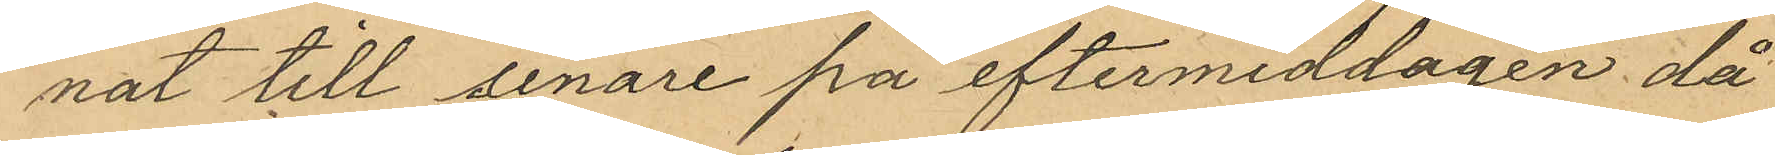nat till senare på eftermiddagen då
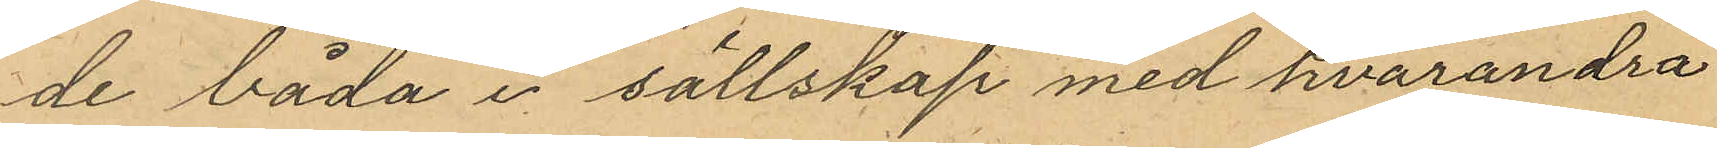de båda i sällskap med hvarandra
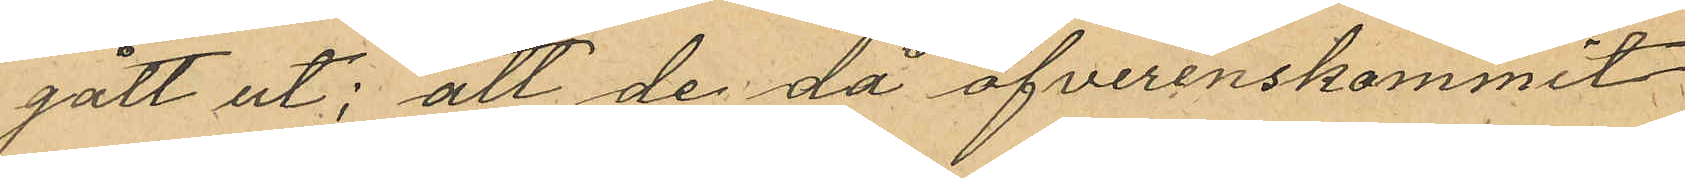gått ut; att de då öfverenskommit
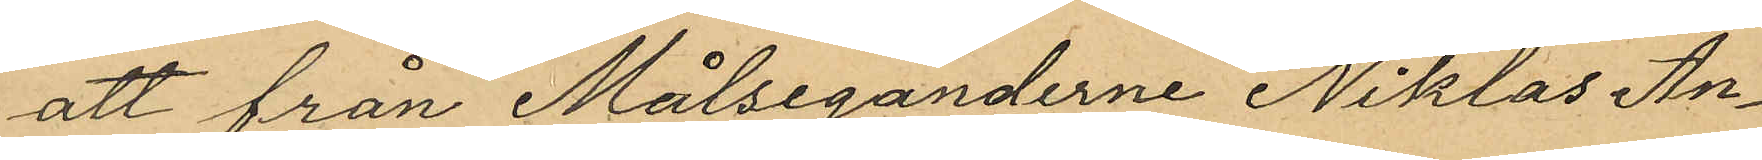att från Målsegandena Niklas An¬
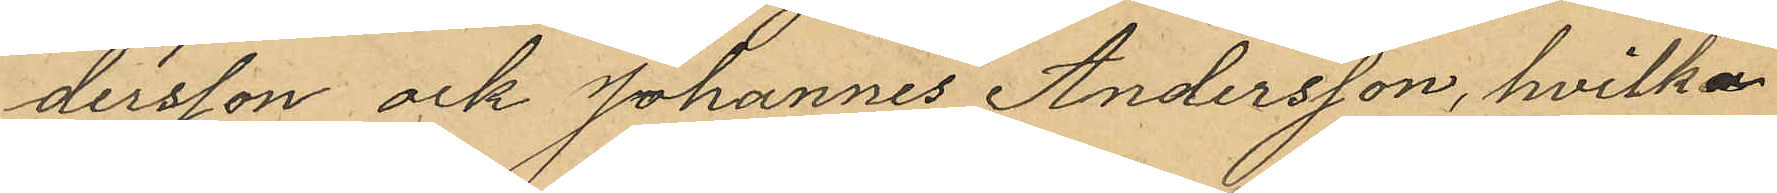dersson och Johannes Andersson, hvilka
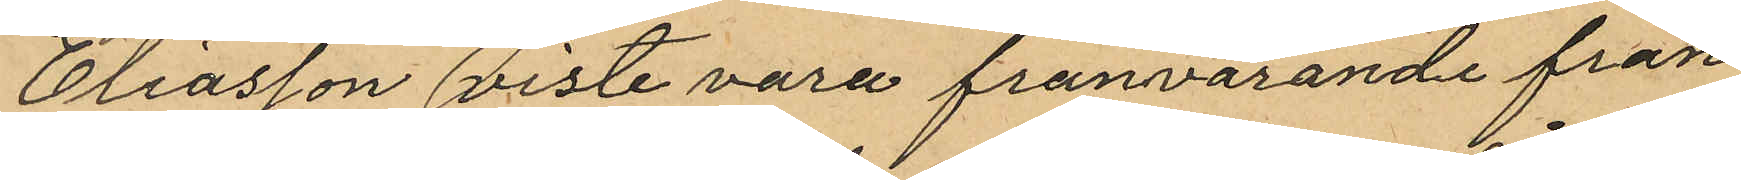Eliasson viste vara frånvarande från
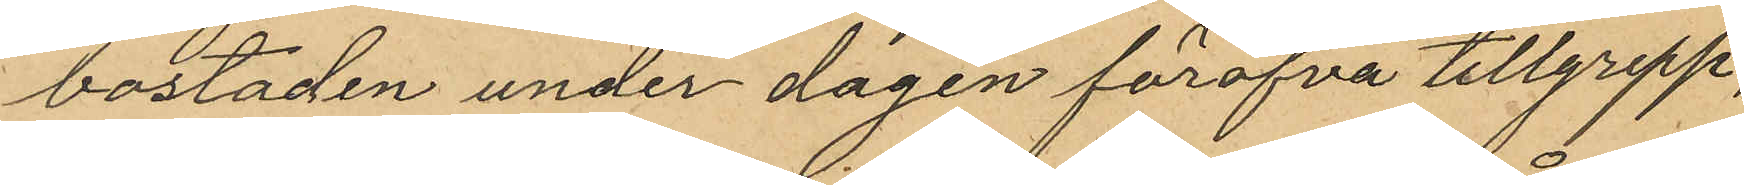bostaden under dagen föröfva tillgrepp,
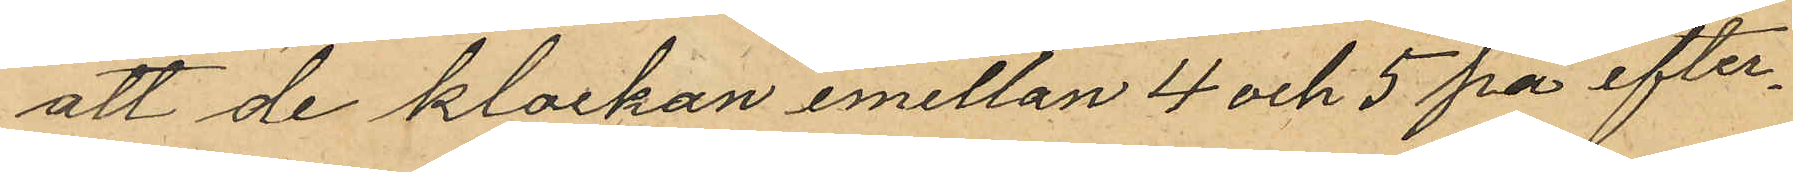att de klockan emellan 4 och 5 på efter¬
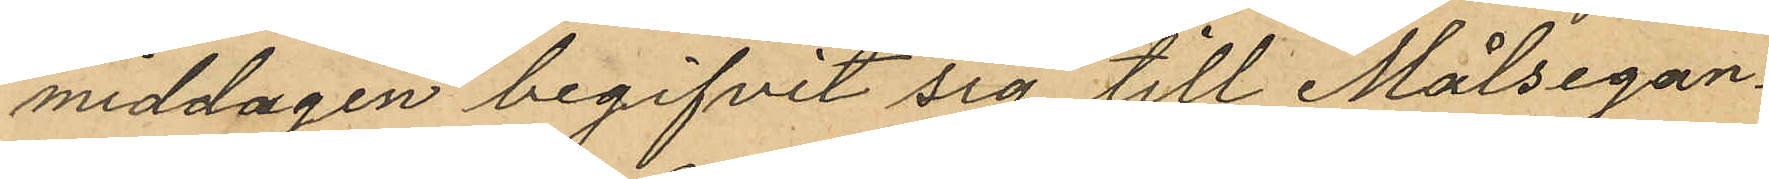middagen begifvit sig till Målsegan¬
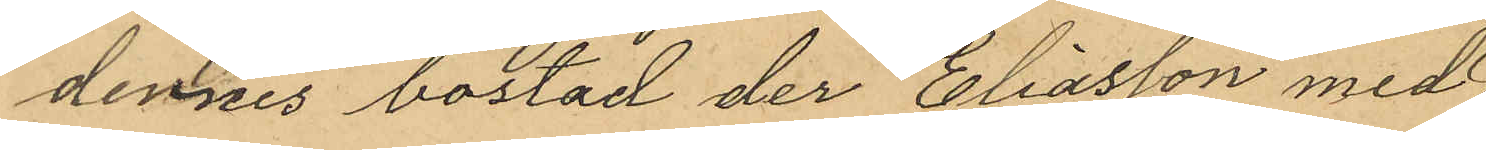dennes bostad der Eliasson med
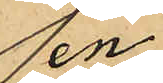en
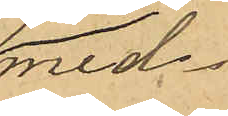med¬
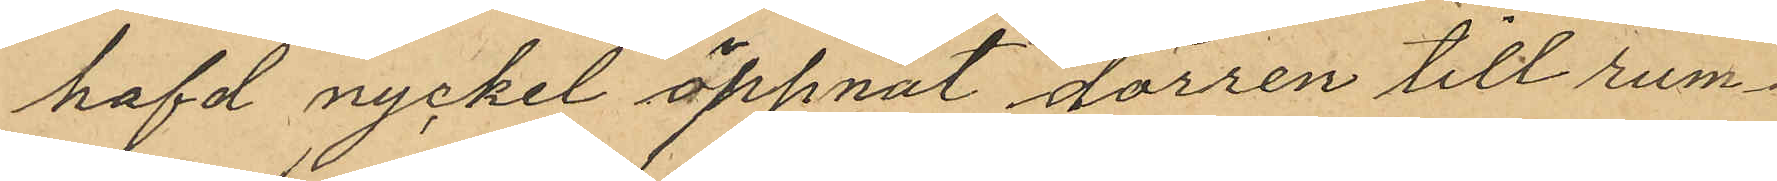hafd nyckel öppnat dörren till rum¬
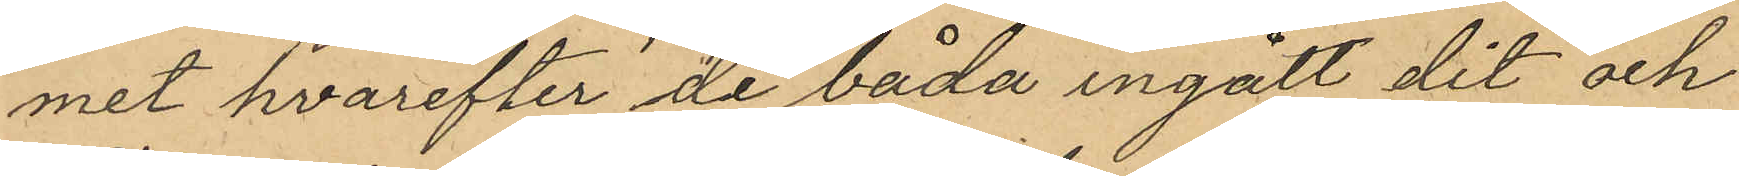met hvarefter de båda ingått dit och
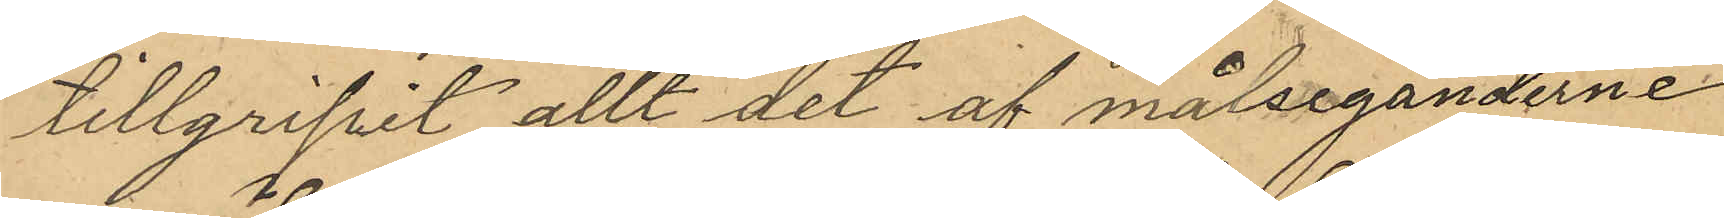tillgripit allt det af målseganderne
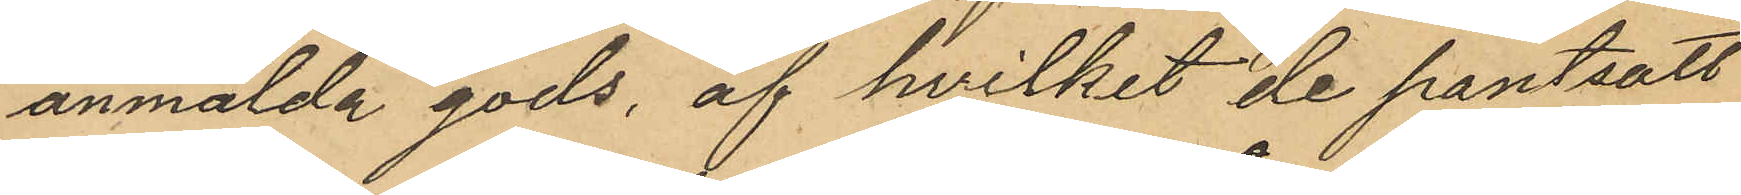anmälda gods, af hvilket de pantsatt
